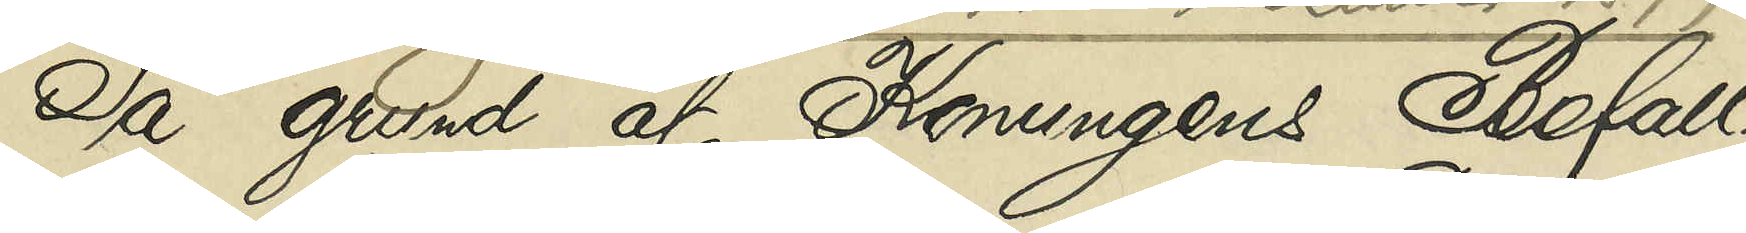På gund af Konungens Befall¬
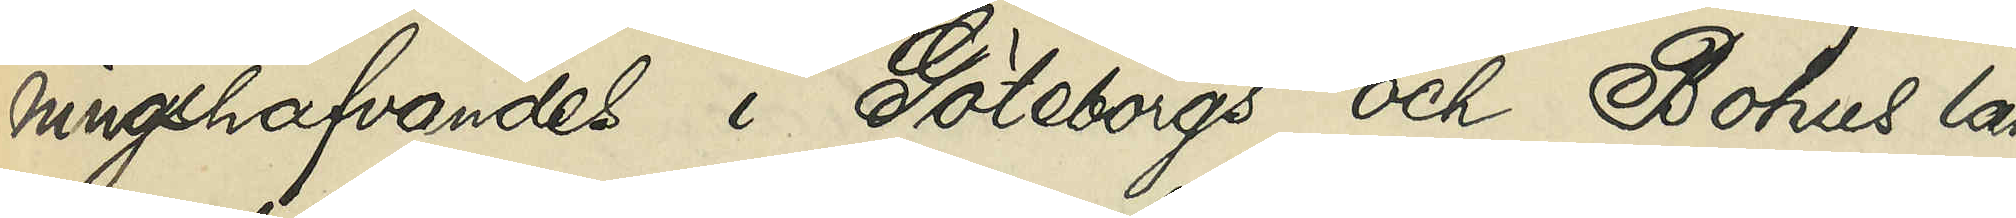ningshafvandes i Göteborgs och Bohus län
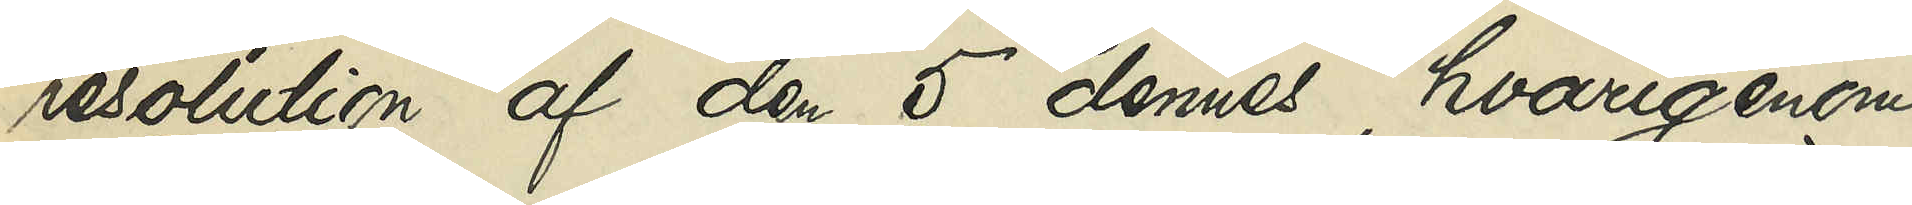resolution af den 5 dennes, hvarigenom
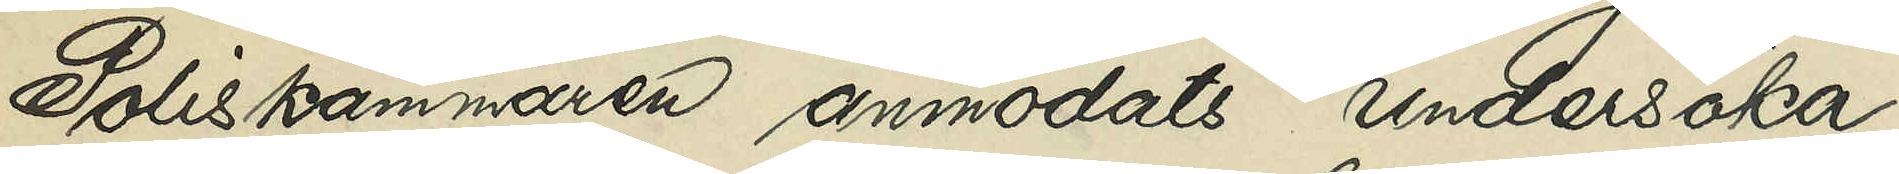Poliskammaren anmodats undersöka,
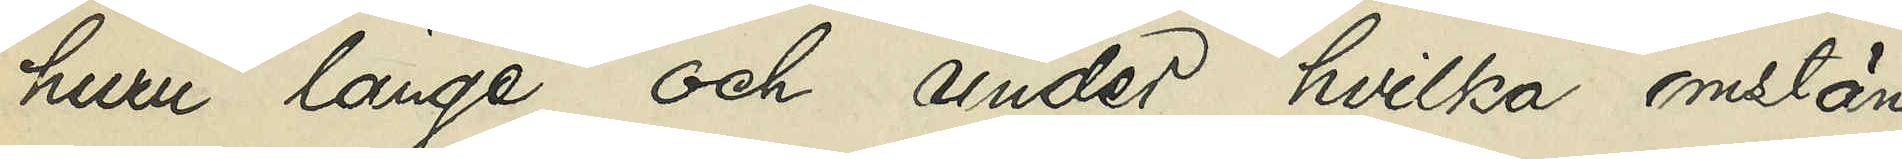huru länge och under hvilka omstän¬
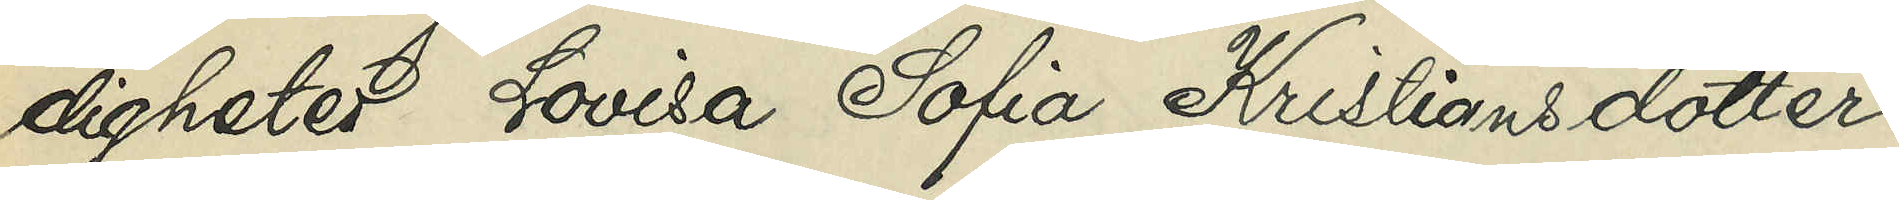digheter Lovisa Sofia Kristiansdotter,
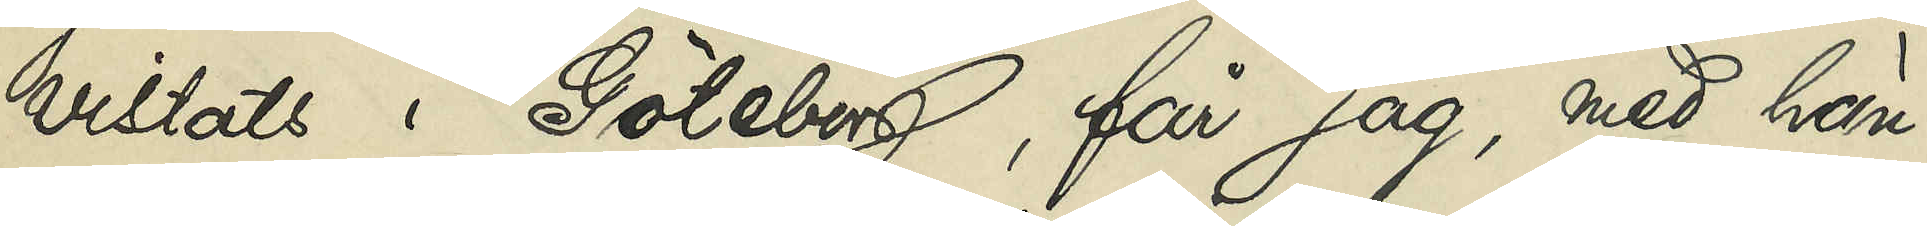vistats i Göteborg, får jag, med hän¬
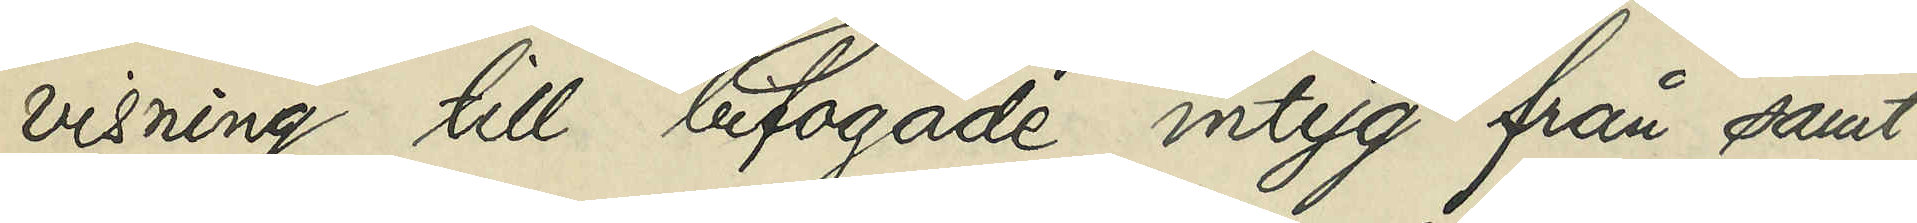visning till bifogade intyg från samt¬
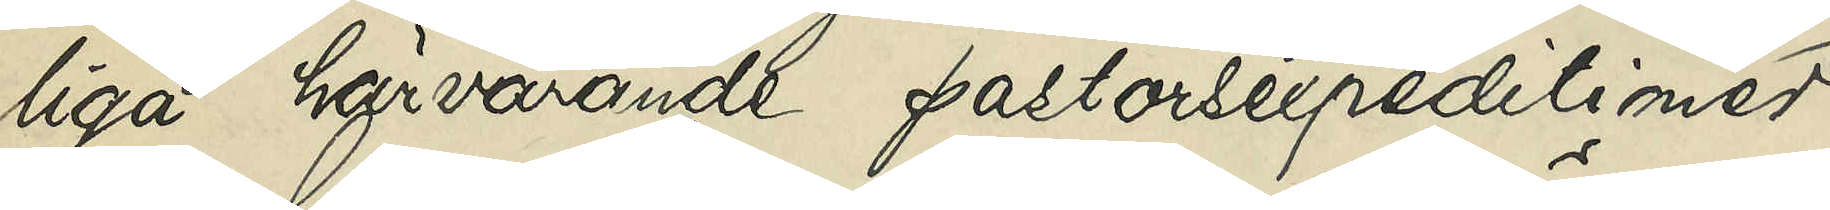liga härvarande pastorsexpeditioner
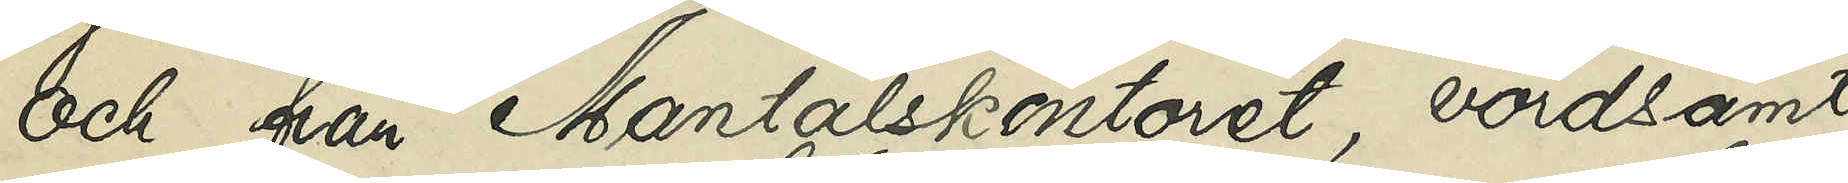och från Mantalskontoret, vördsamt
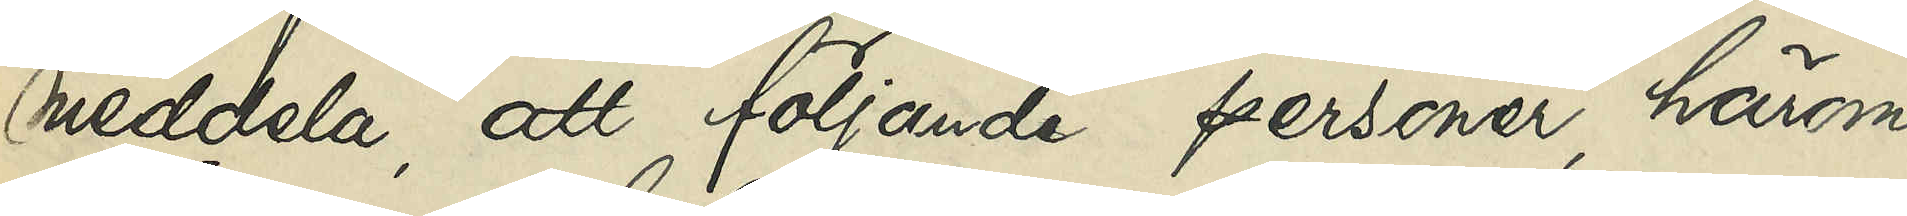meddela, att följande personer, härom
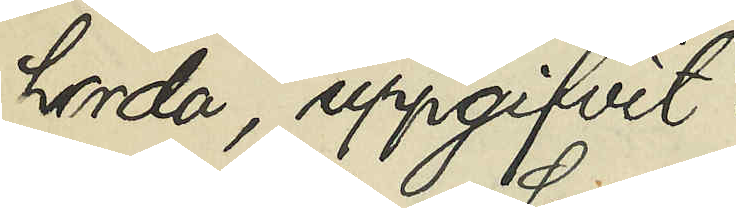hörda, uppgifvit:
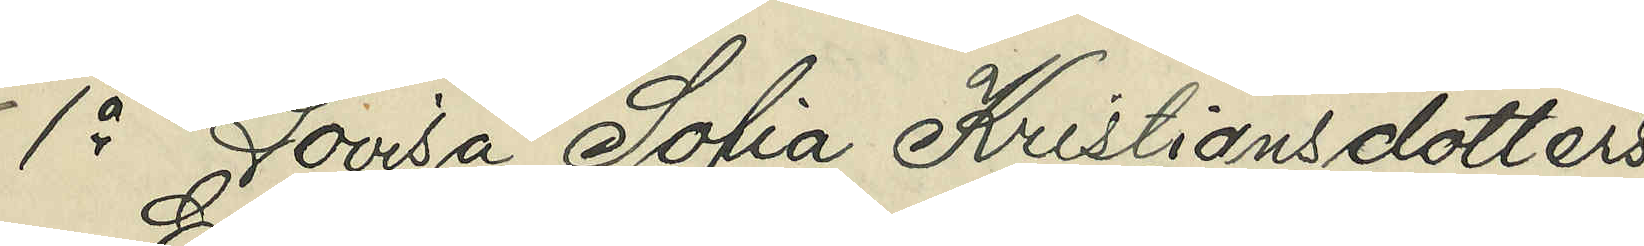1o Lovisa Sofia Kristiansdotters
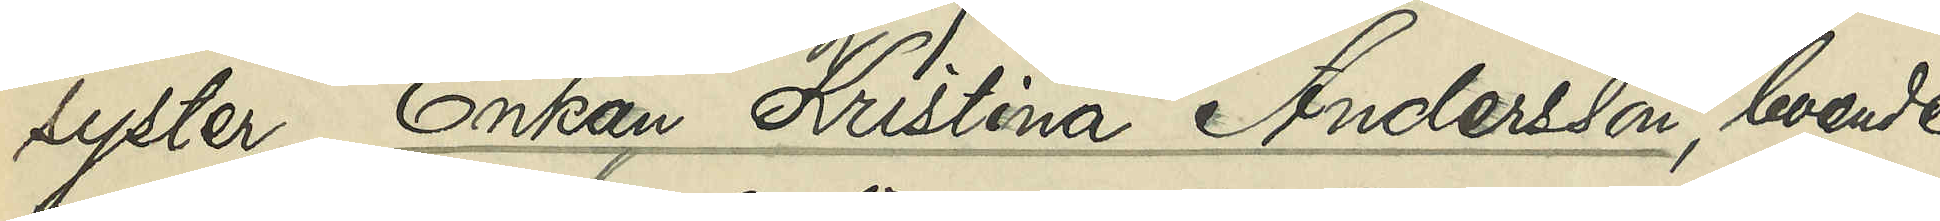syster, Enkan Kristina Andersson, boende
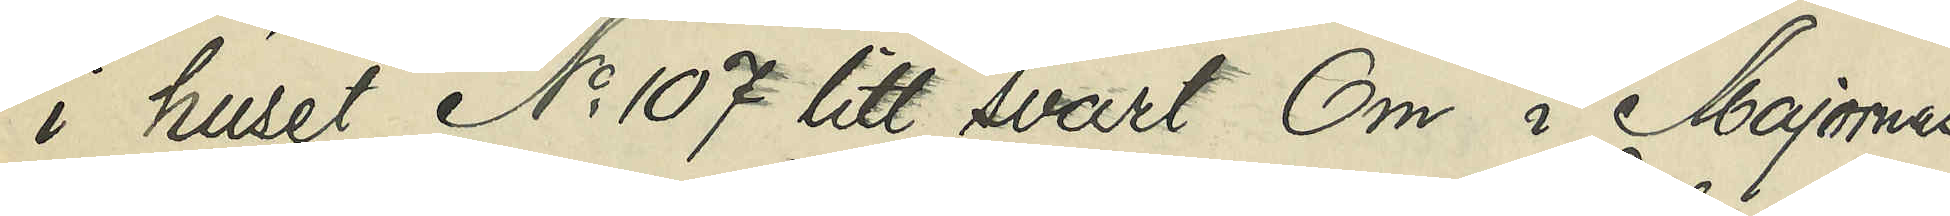i huset No 107 litt. svart Cm i Majornas
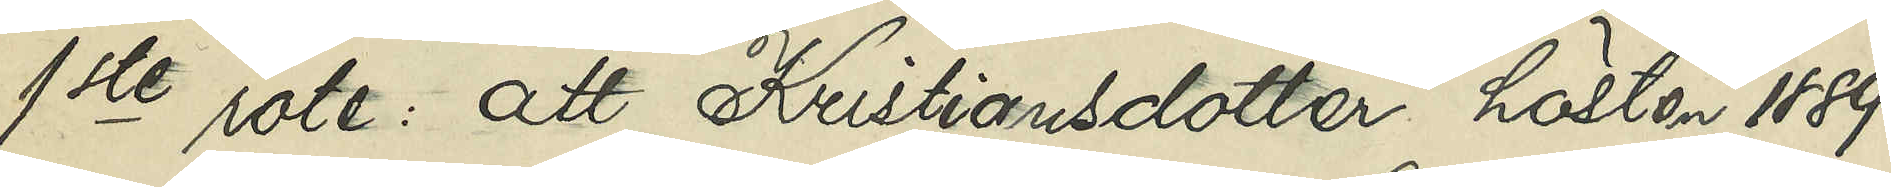1ste rote: att Kristiansdotter hösten 1889
